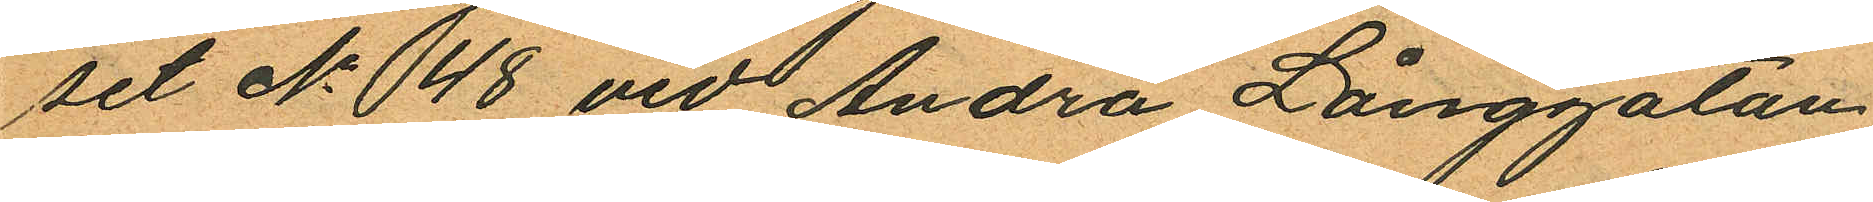set No 48 vid Andra Långgatan
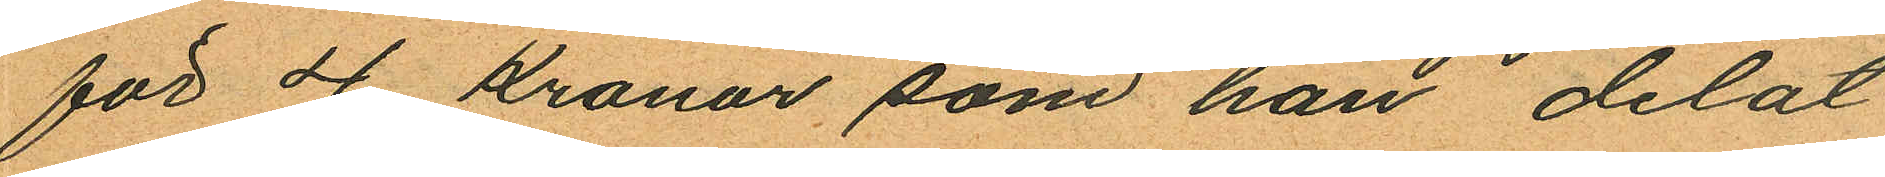för 4 kronor som han delat
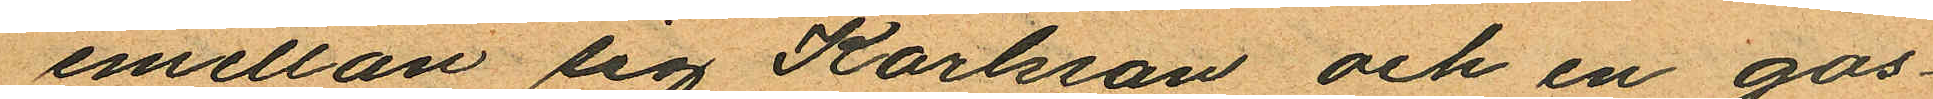emellan sig Karlsson och en gos¬
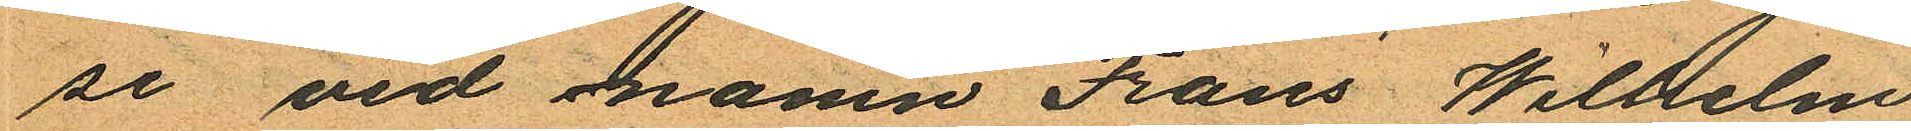se vid namn Frans Wilhelm
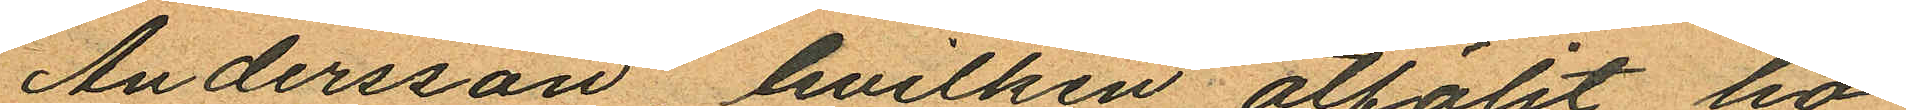Andersson, hvilken åtföljt ho¬
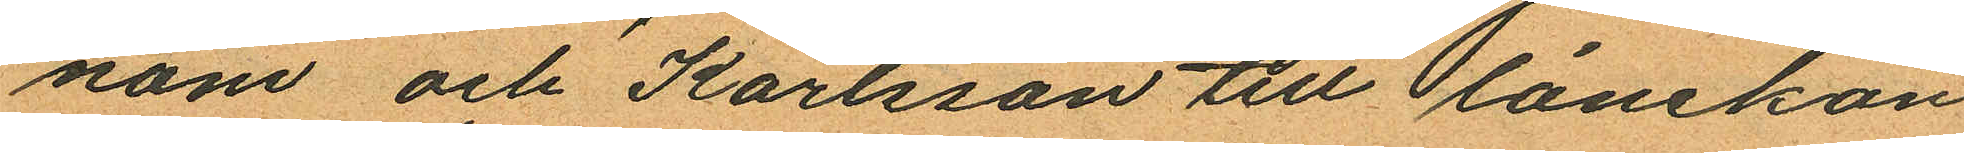nom och Karlsson till lånekon
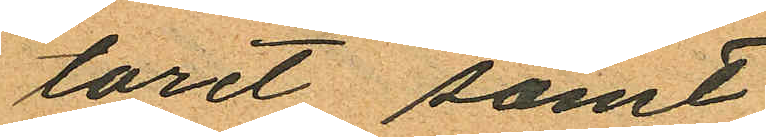toret samt
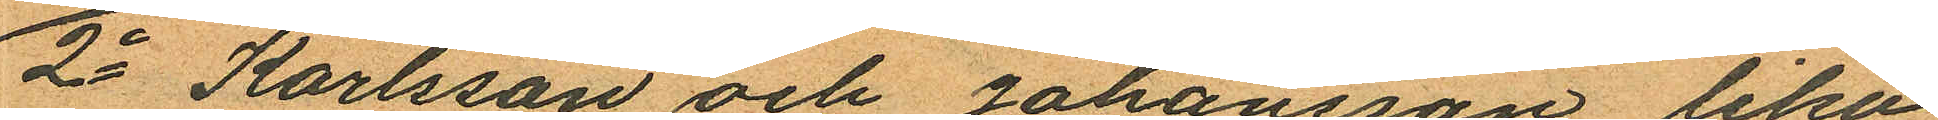2o Karlsson och Johansson lika
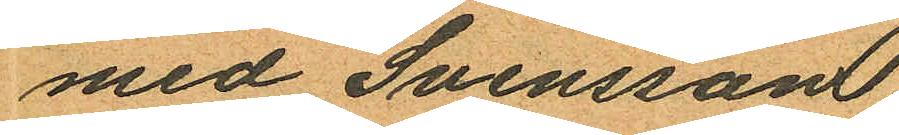med Svensson
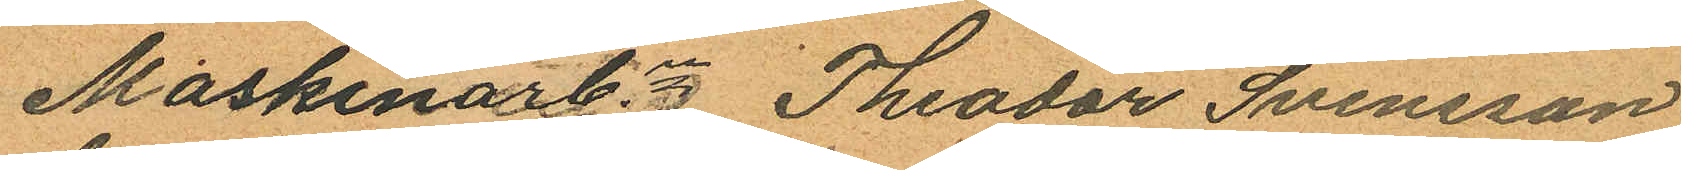Maskinarbn Theodor Svensson
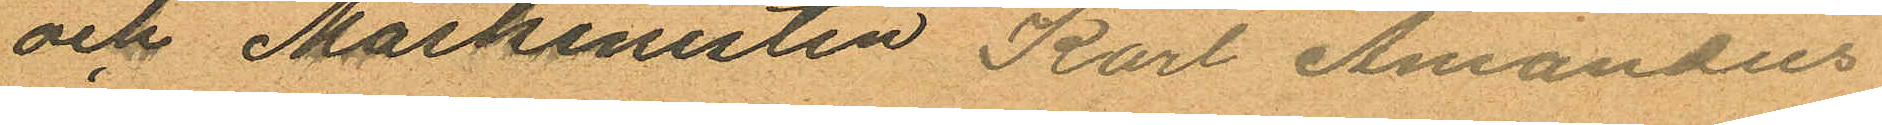och Maskinisten Karl Amandus
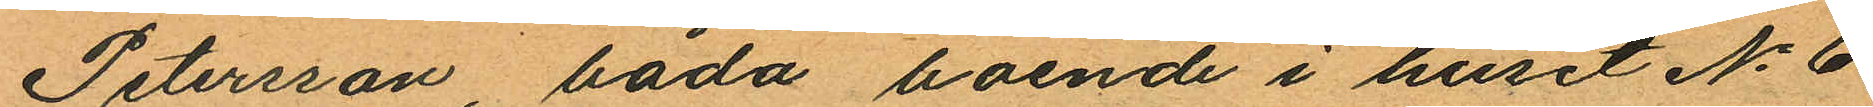Petersson, båda boende i huset No 6
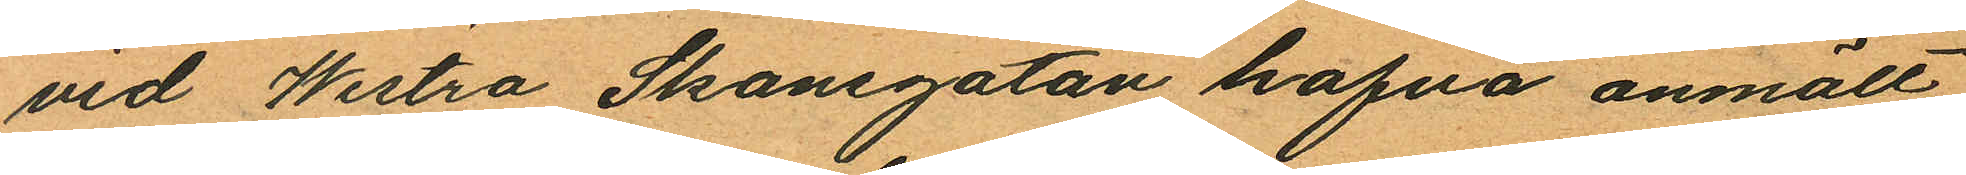vid Westra Skansgatan hafva anmält
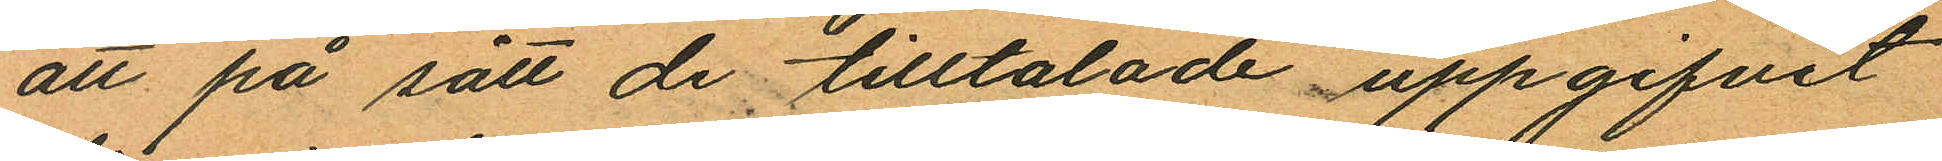att på sätt de tilltalade uppgifvit
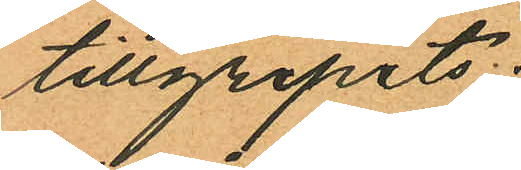tillgripits:
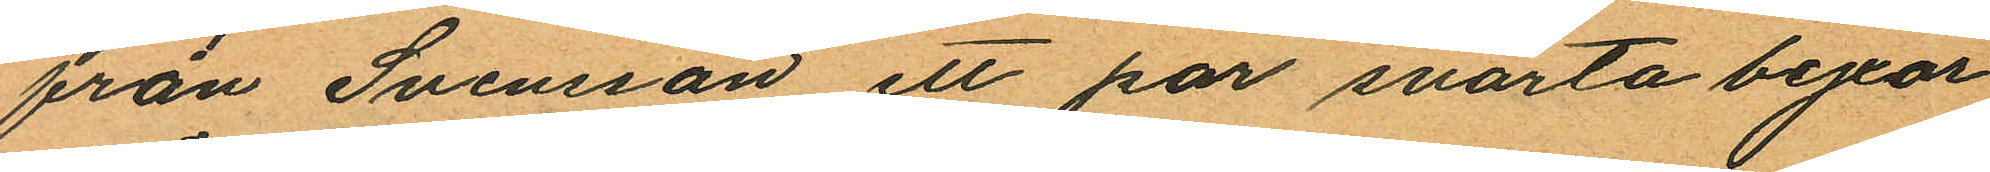från Svensson ett par svarta byxor
